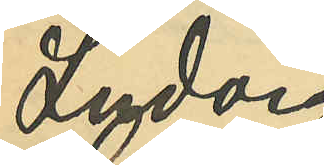Ludvig
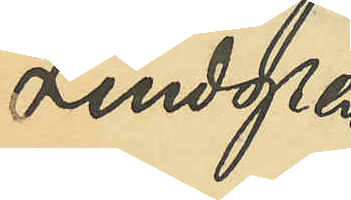Lindgren
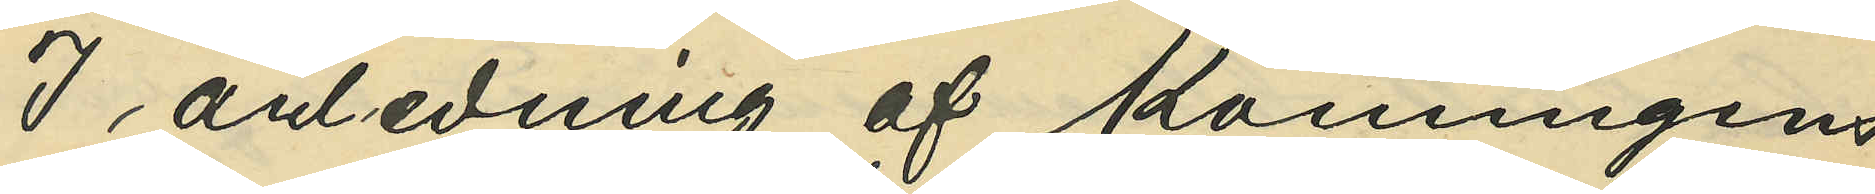I anledning af Konungens
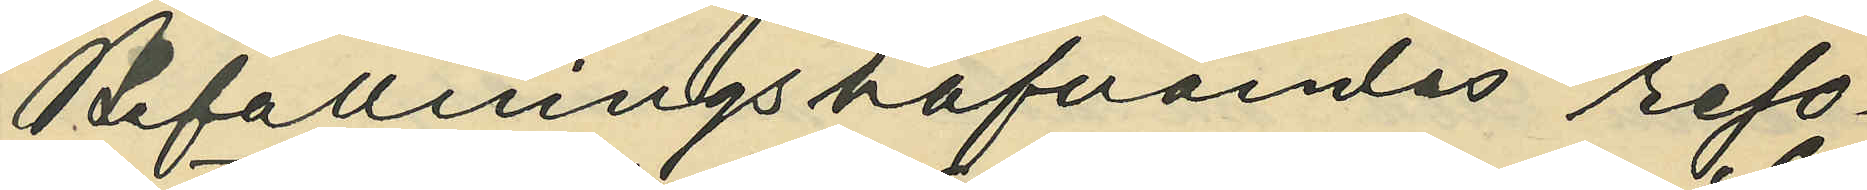Bafallningahafvandes reso¬
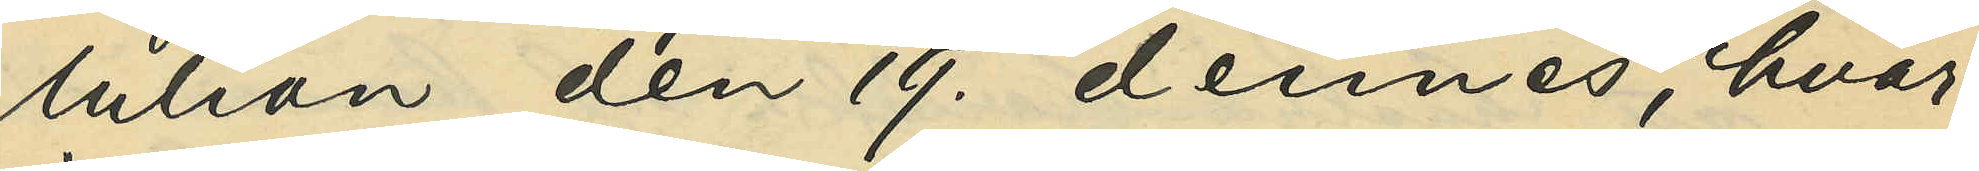lution den 19. dennes, hvar¬
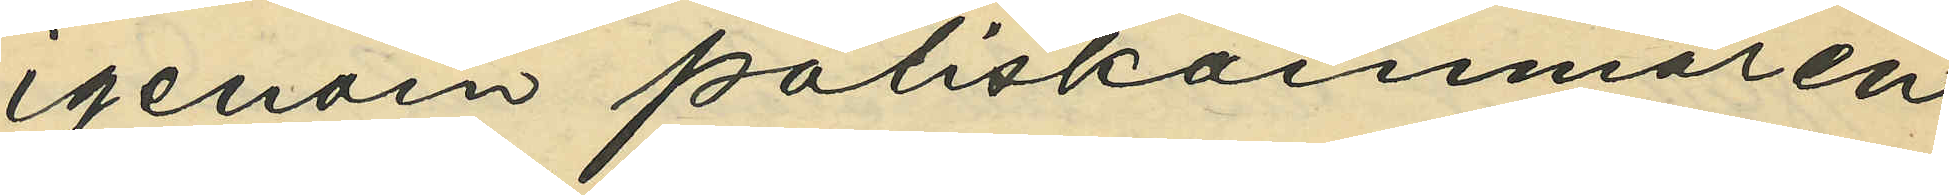igenom Poliskammaren
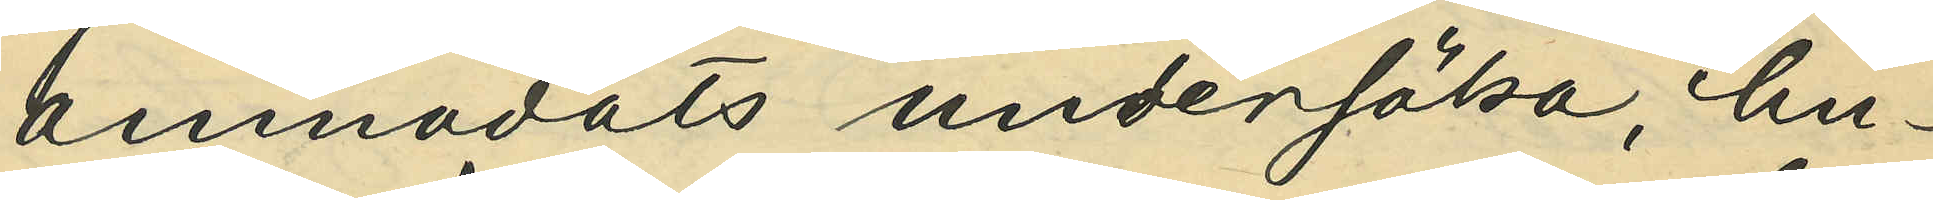anmodats undesöka, hu¬
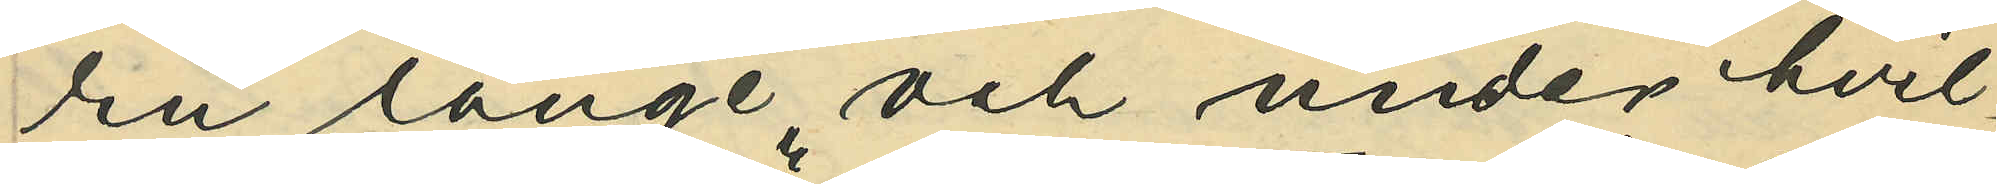ru länge och under hvil¬
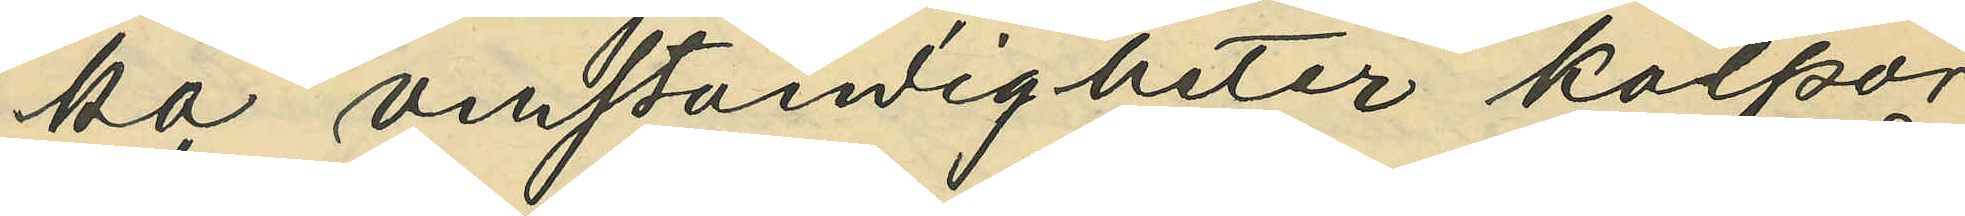ka omständigheter kolpor¬
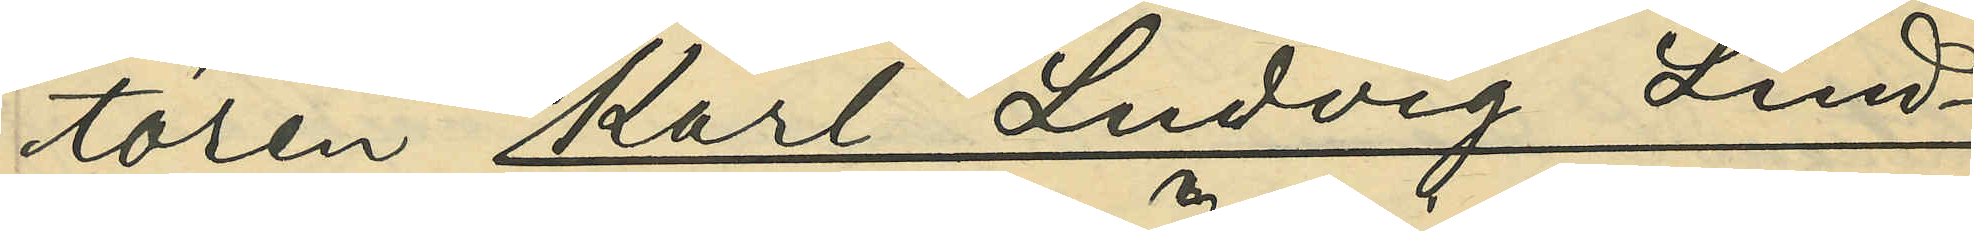tören Karl Ludvig Lind¬
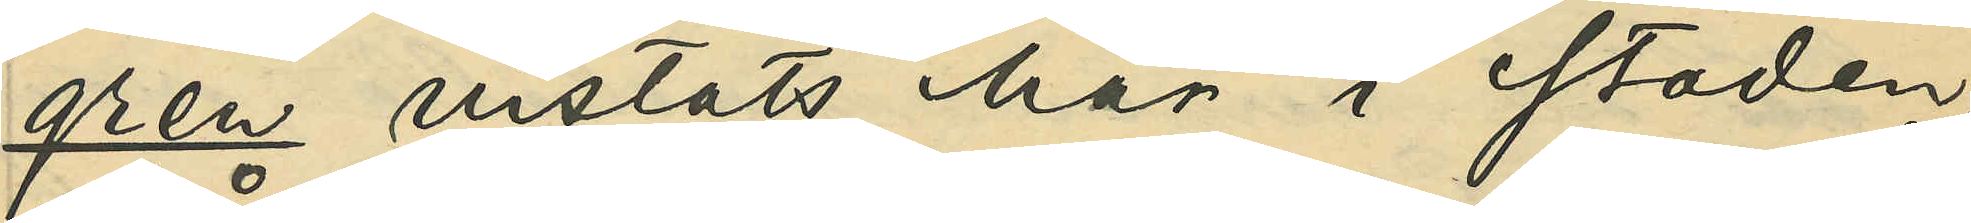gren vistats här i staden,
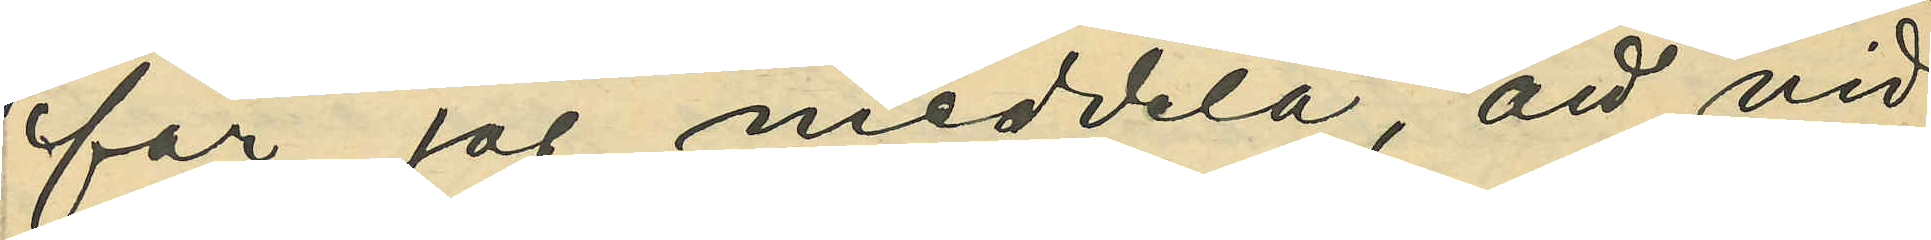får jag meddela, att vid
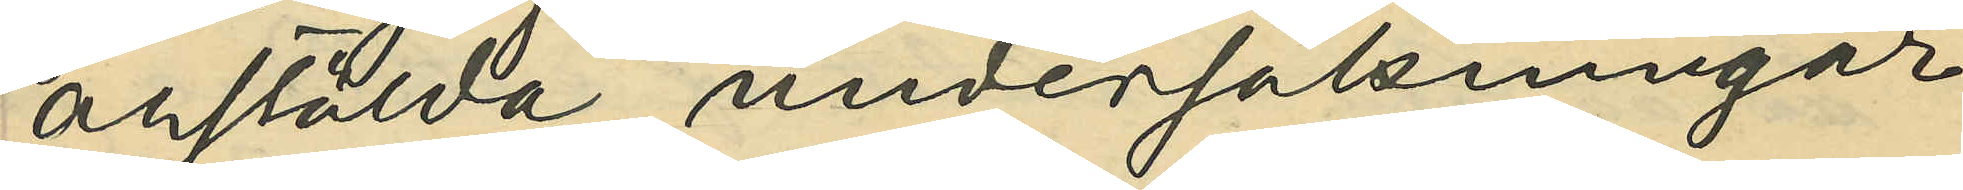anstälda undersökningar
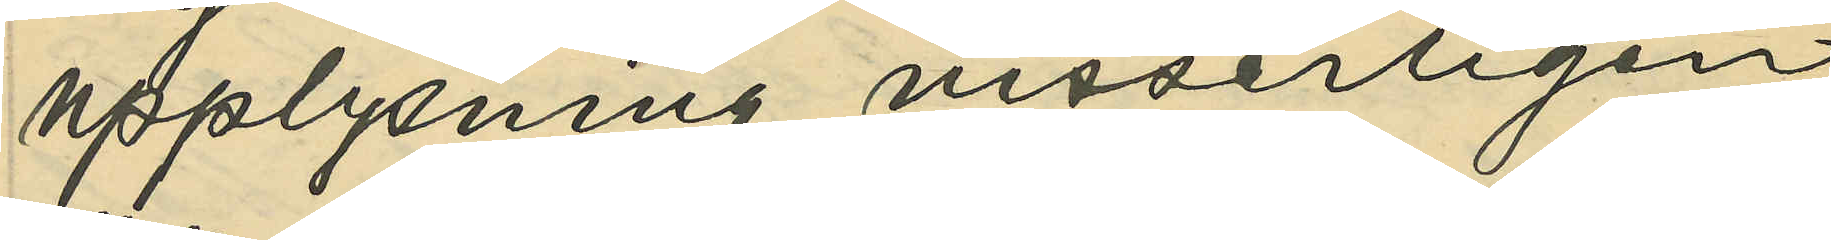upplysning visserligen
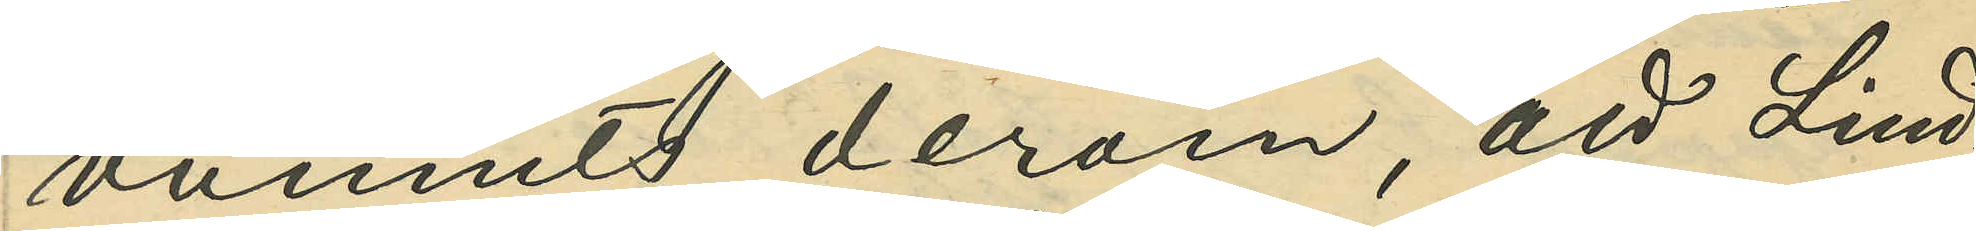vunnits derom, att Lind¬
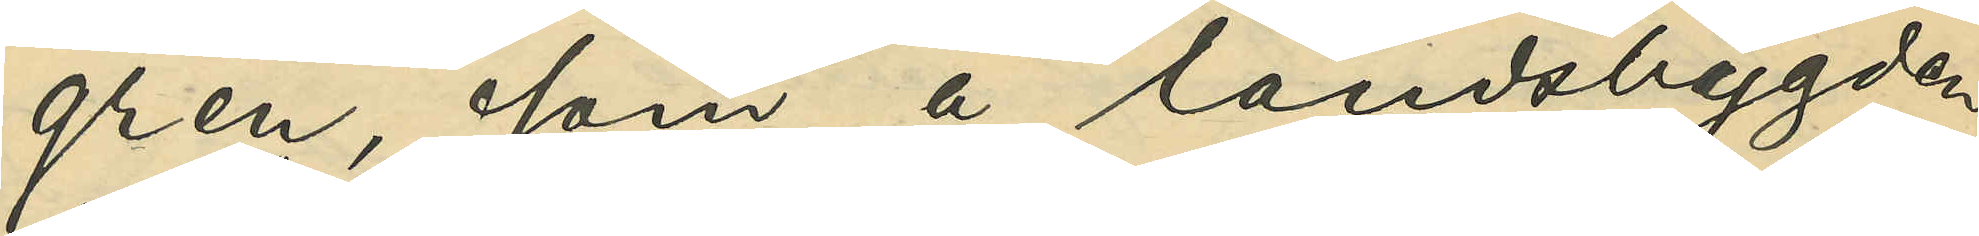gren, som å landsbygden
